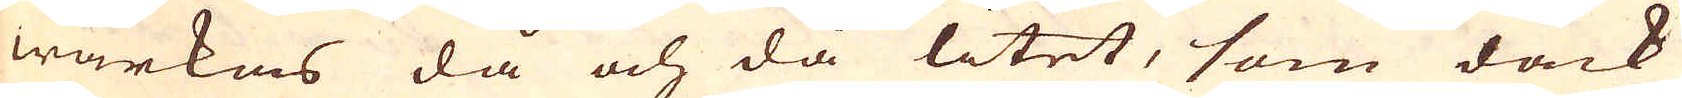wärkas då och då litet, som dåck
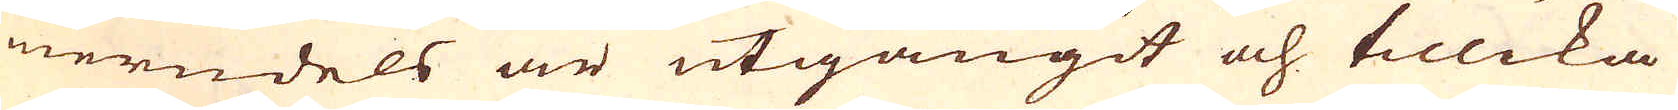merndels är utgångit och tillika
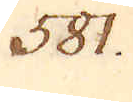581.
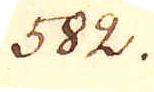582.
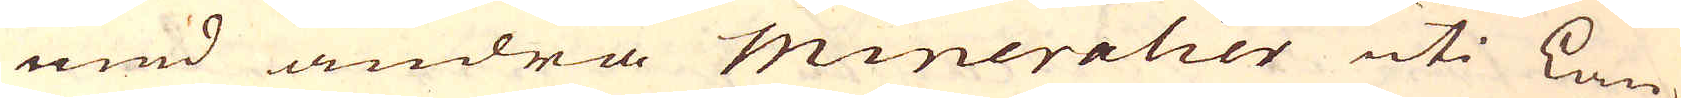med andra Mineralier uti Lan-
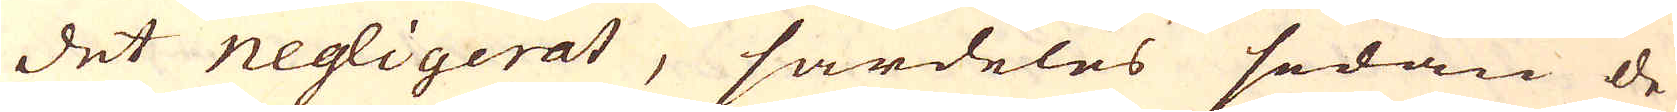det negligerat, särdeles sedan de
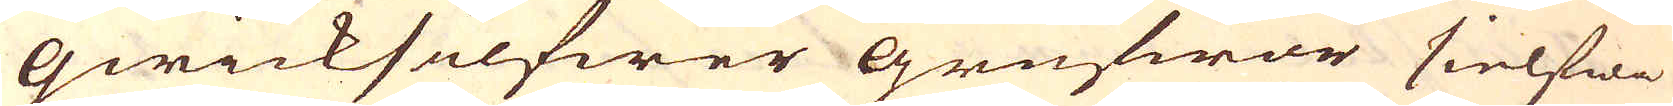qwicksilfwer grufwor sielfwe
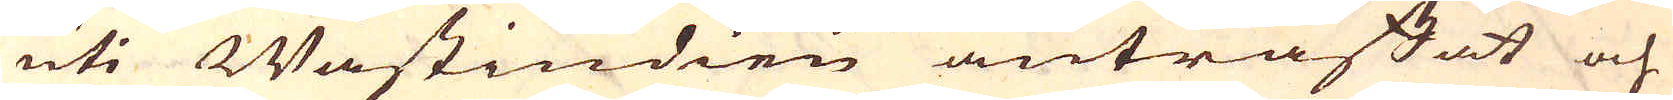uti Wästindien anträffat och
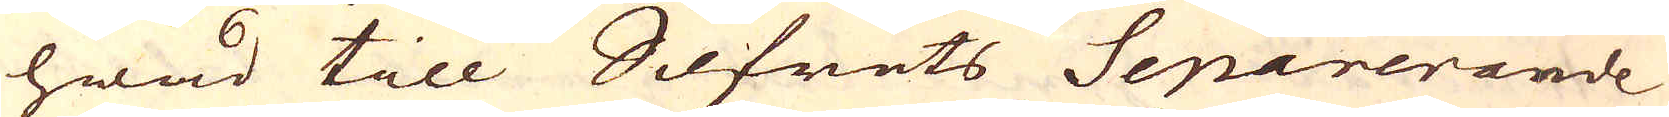hwad till Silfrets Separerande
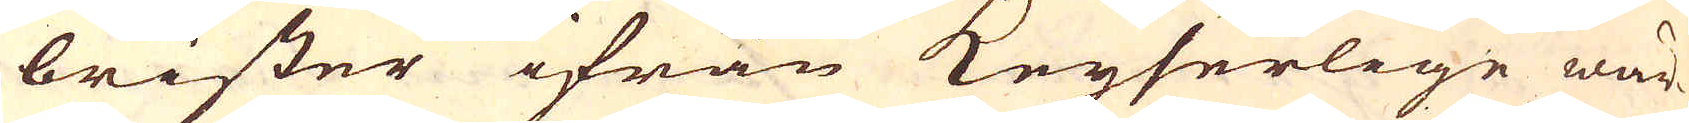brister ifrån Keyserlige wär-
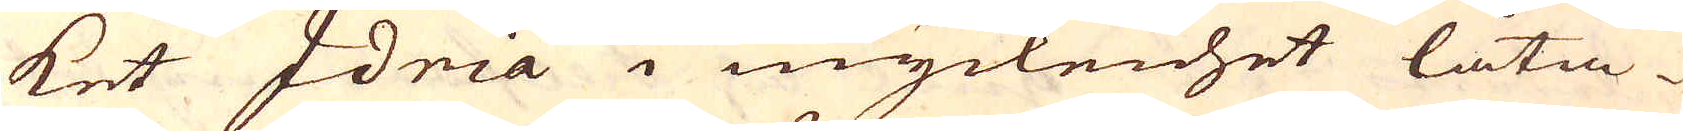ket Idria i myckenhet låta-
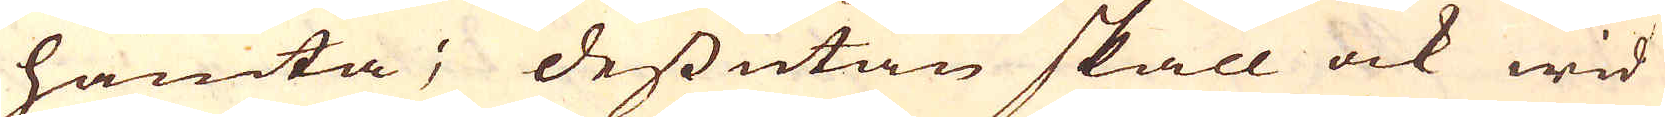hämta; dessutan skall ock wid
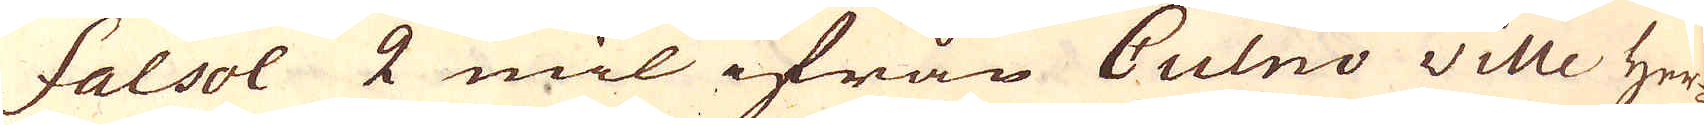Falsol 2 mil ifrån Culno ville Her-
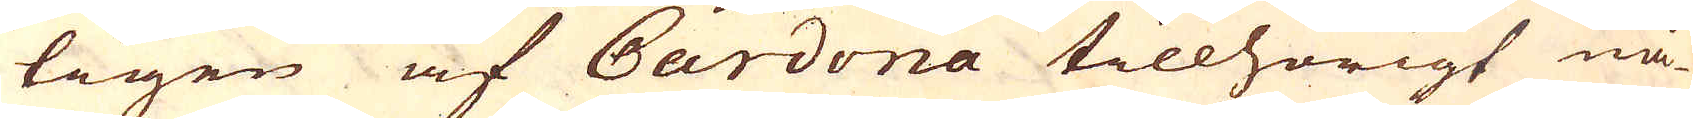tigen af Cardona tillhörigt nå-
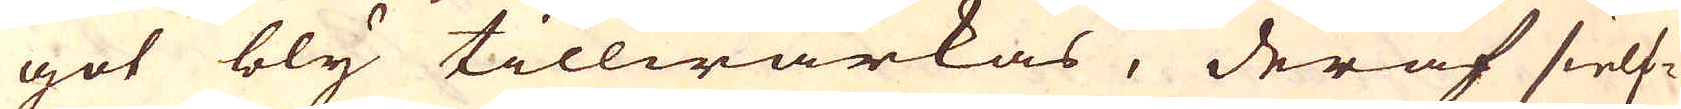got bly tillwärkas, der af sielf-
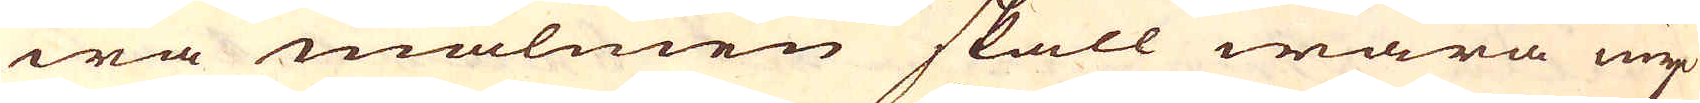wa malmen skall wara myc-
